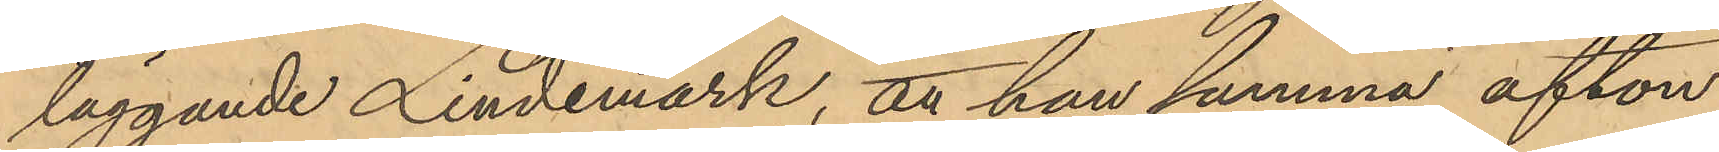läggande Lindemark, att han samma afton
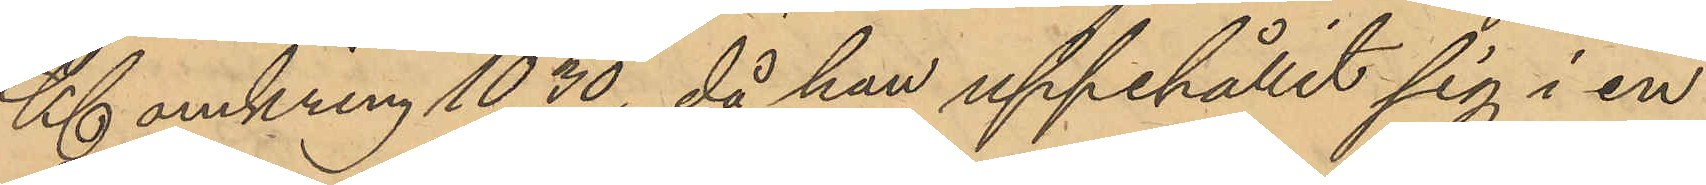Kl omkring 10,30, då han uppehållit sig i en
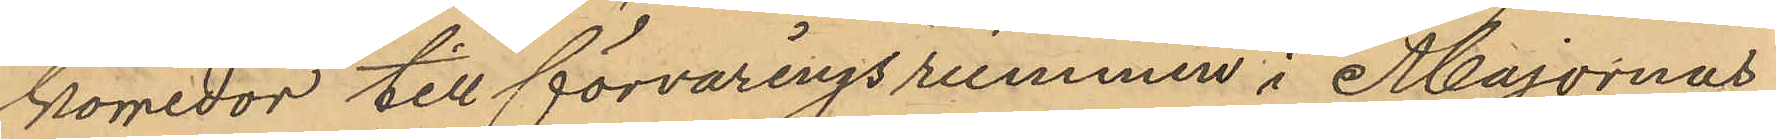korridor till förvaringsrummen i Majornas
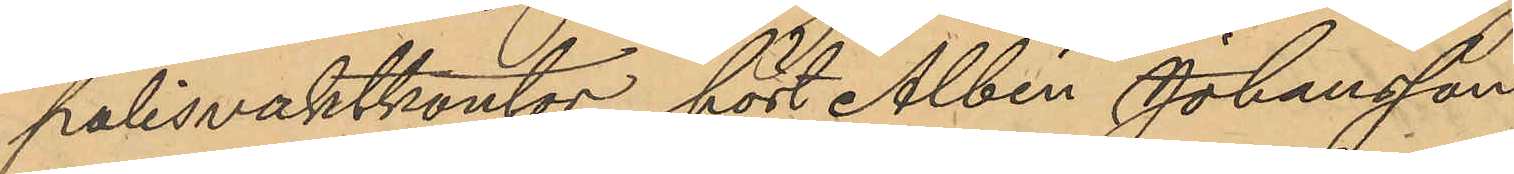polisvaktkontor hört Albin Johansson
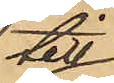till¬
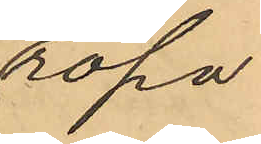ropa
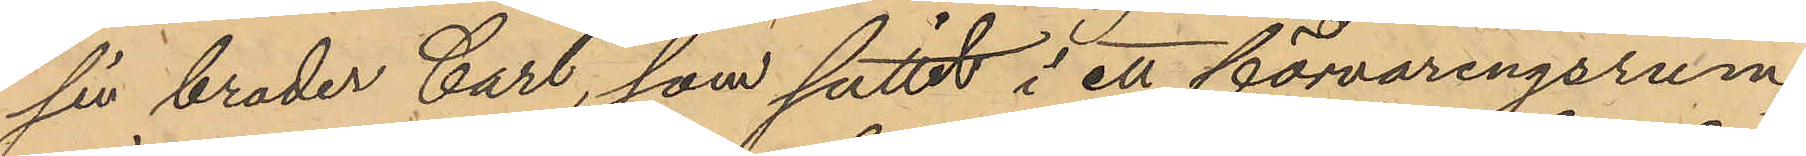sin broder Carl, som suttit i ett förvaringsrum,
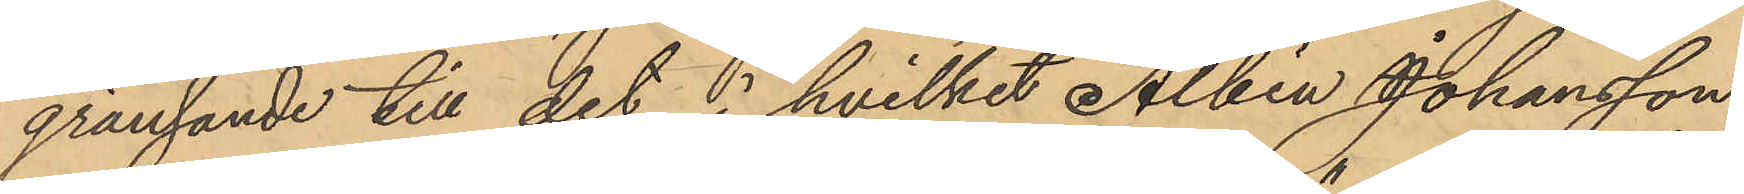gränsande till det i hvilket Albin Johansson
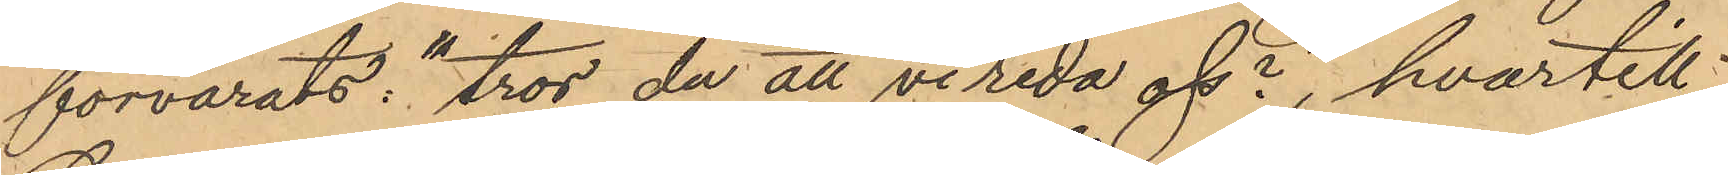förvarats : "tror du att vi reda oss", hvartill
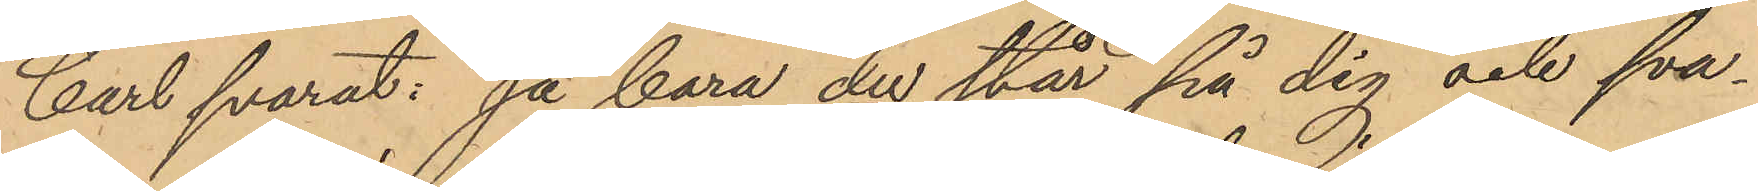Carl svarat: "ja bara du står på dig och sva¬
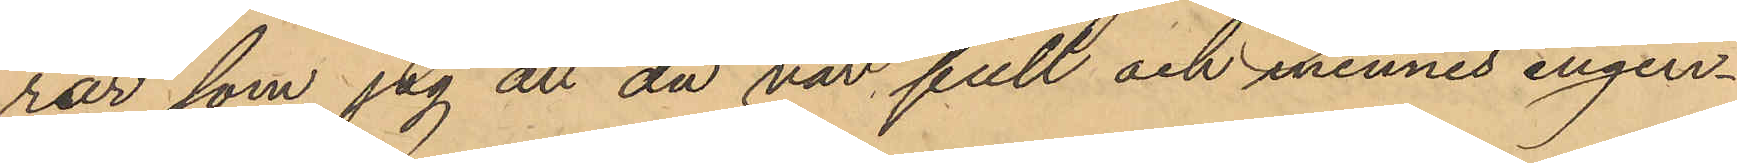rar som jag att du var full och minnes ingen¬
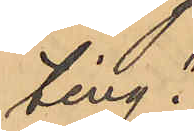ting."
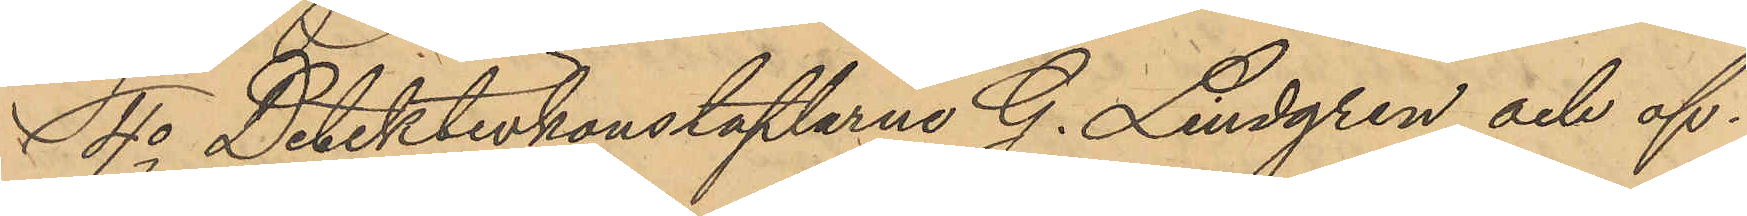4o Detektivkonstaplarne G. Lindgren och of¬
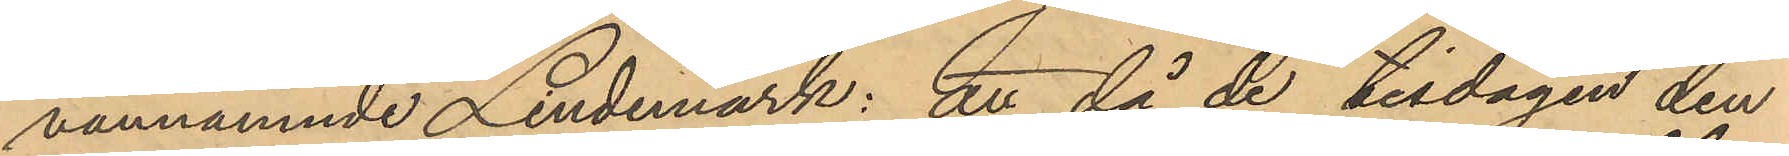vannämnde Lindemark: att då de tisdagen den
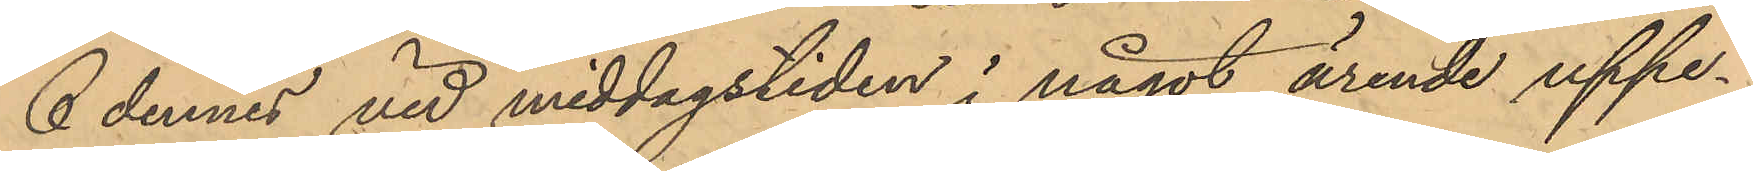6 dennes vid middagstiden i något ärende uppe¬
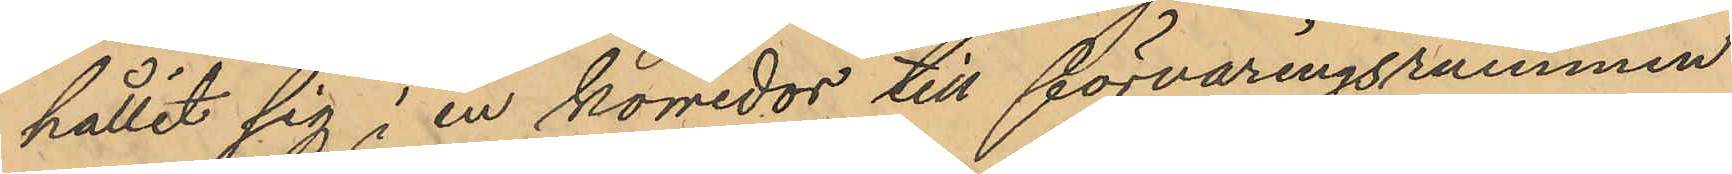hållit sig i en korridor till förvaringsrummen
